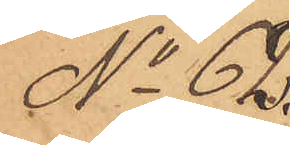No 62
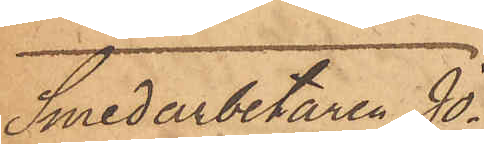Smedarbetaren Jo¬
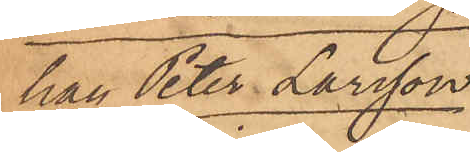han Peter Larsson
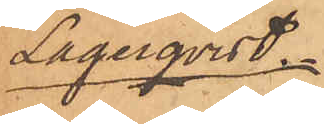Lagerqvist.
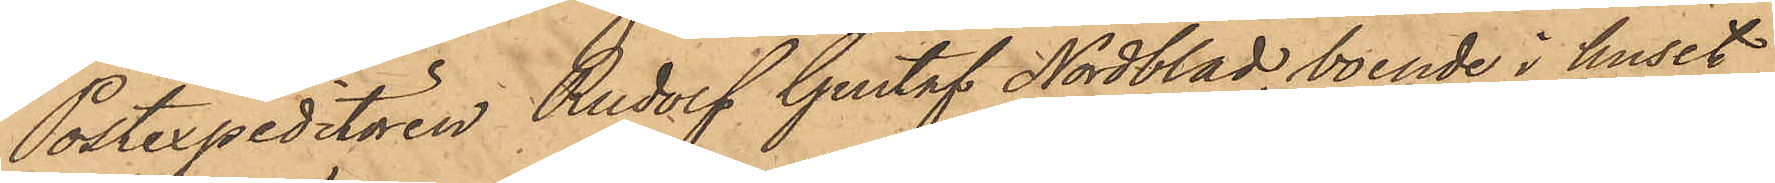Postexpeditören Rudolf Gustaf Nordblad, boende i huset
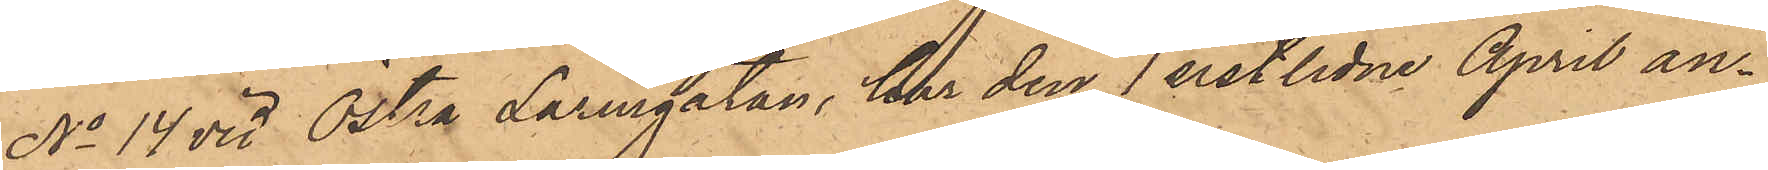No 14 vid Östra Larmgatan, har den 1 sistlidne April an¬
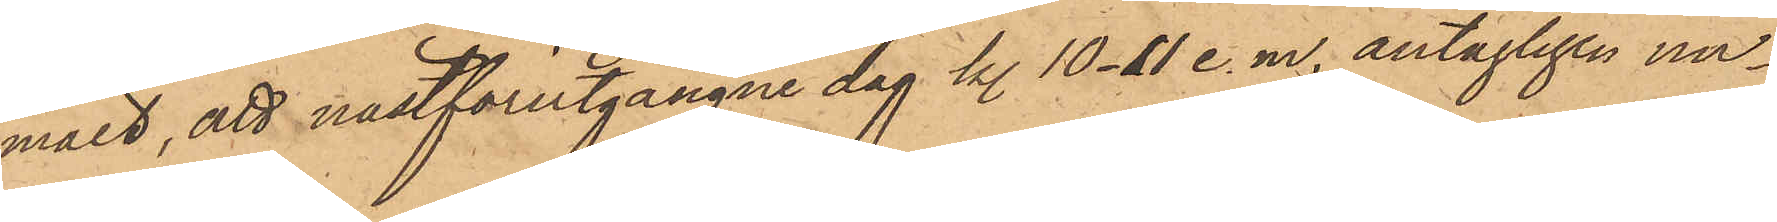mält, att nästförutgångne dag kl. 10-11 e. m. antagligen un¬
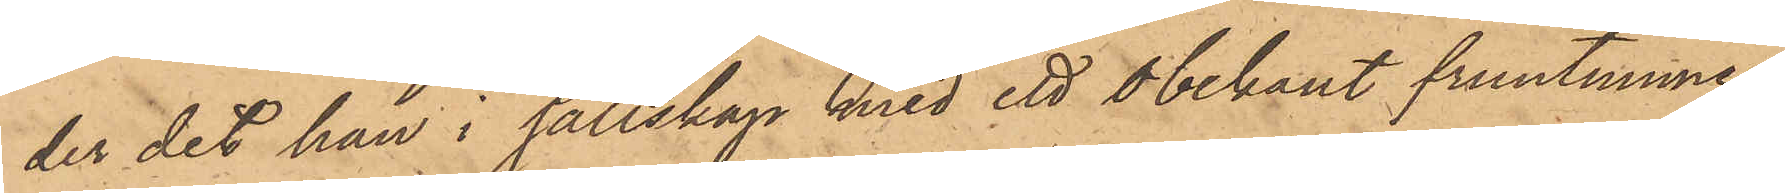der det han i sällskap med ett obekant fruntimmer
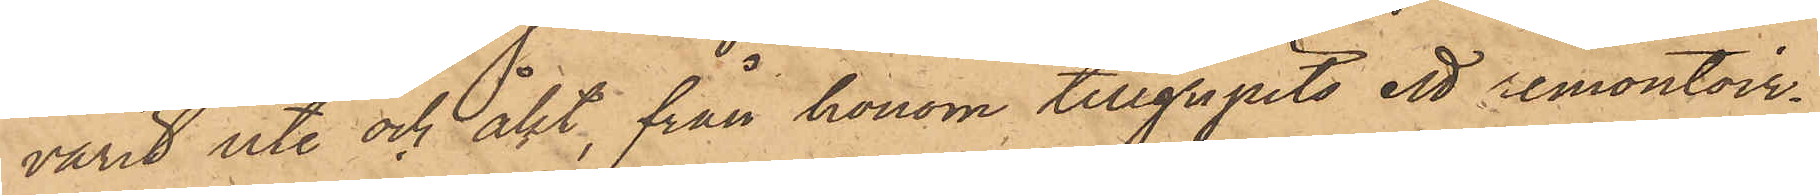varit ute och åkt, från honom tillgripits ett remontoir¬
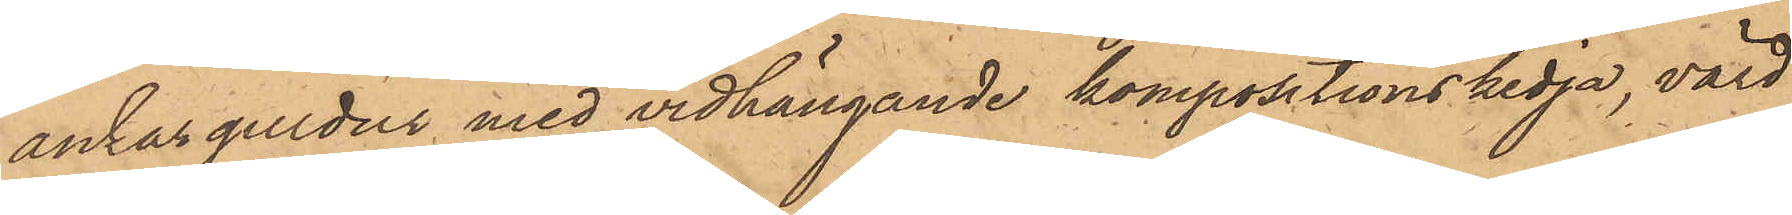ankar guldur med vidhängande kompositionskedja, värd
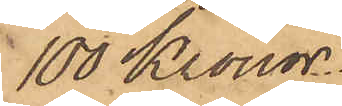100 Kronor.
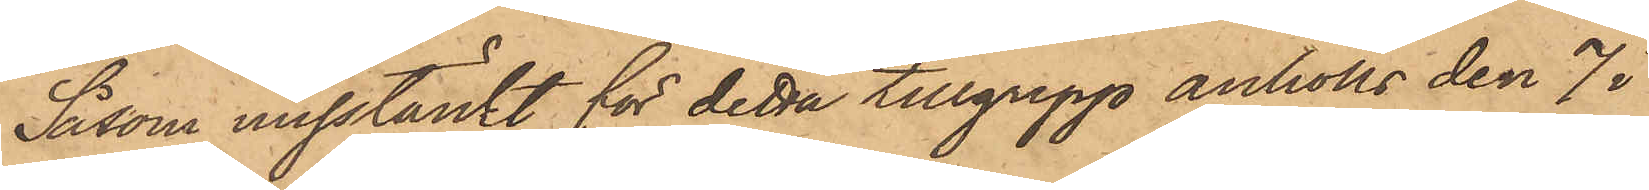Såsom misstänkt för detta tillgrepp anhölls den 7 i
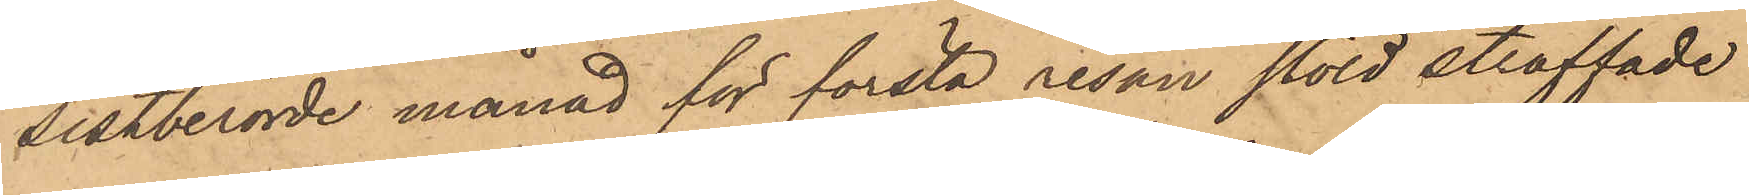sistberörde månad för första resan stöld straffade
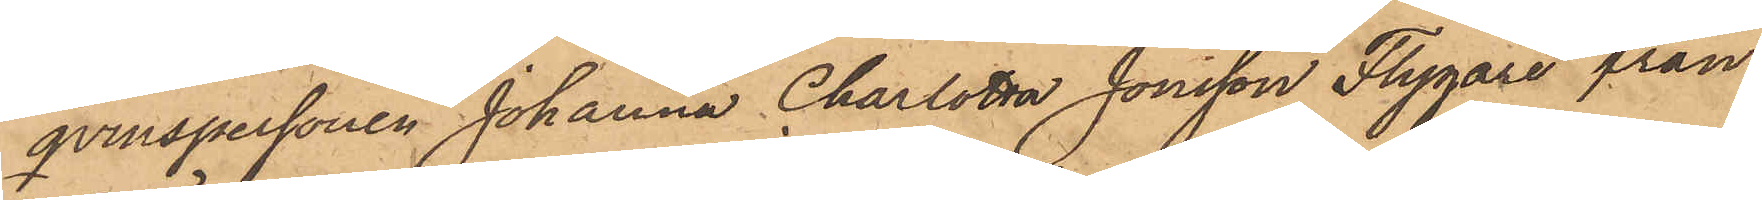qvinspersonen Johanna Charlotta Jonsson Flygare från
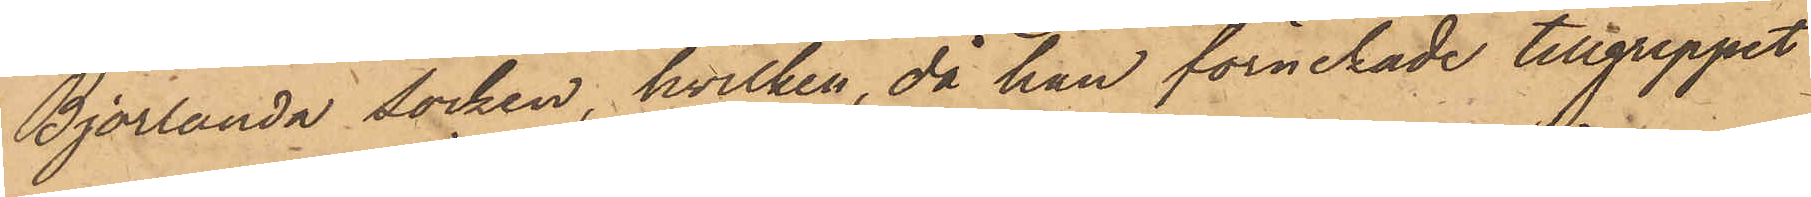Björlanda socken, hvilken, då hon förnekade tillgreppet
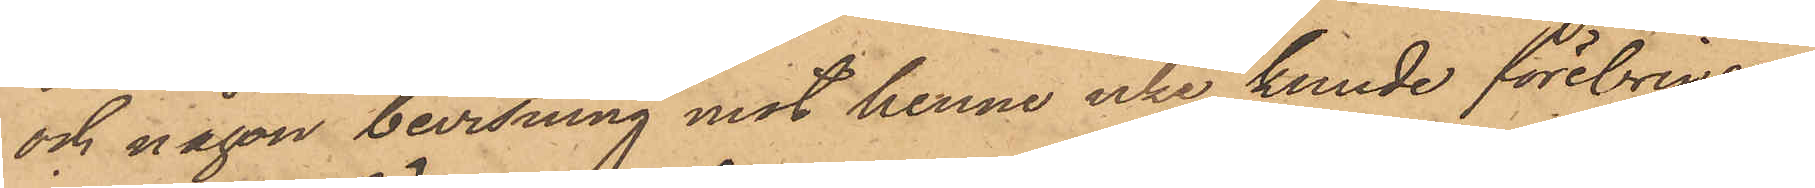och någon bevisning mot henne icke kunde förebringas,
